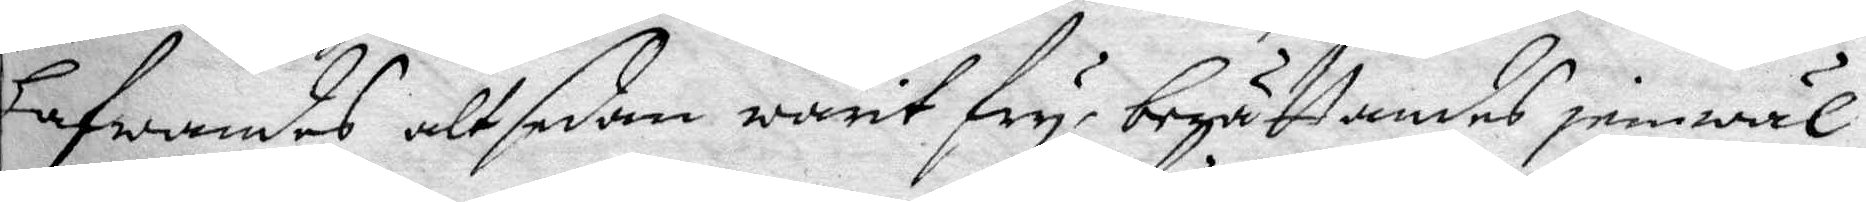Hafwandes alt sedan warit fry, berättandes jemwäl,
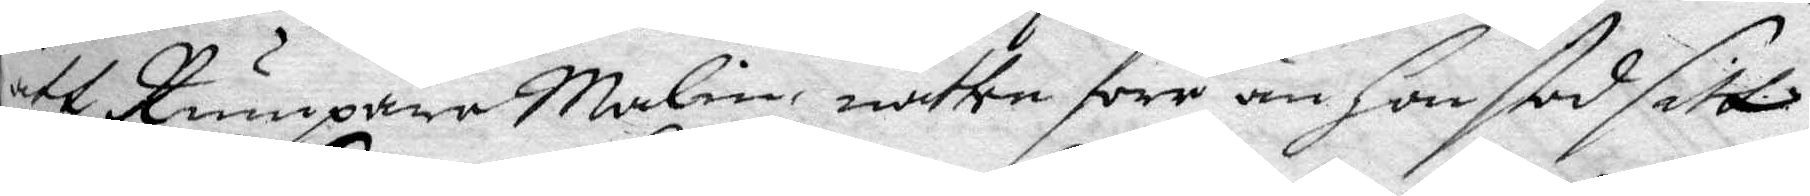att Rumpare Malin, natten förr än Hon stod sitt
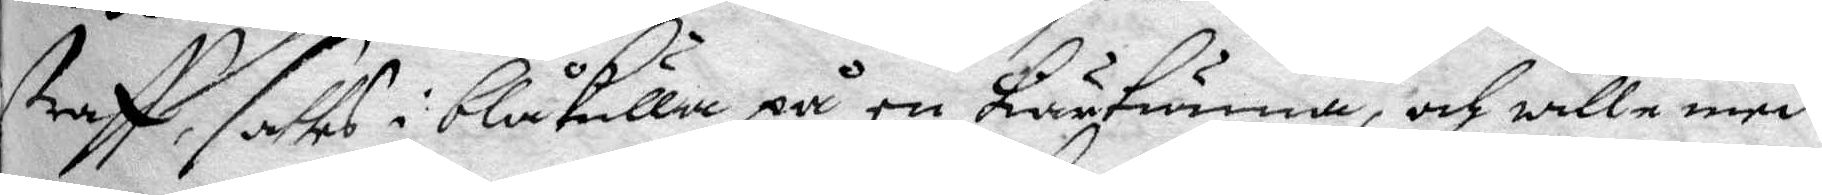straff, sattes i blåkulla på en Kärtunna, och wille med
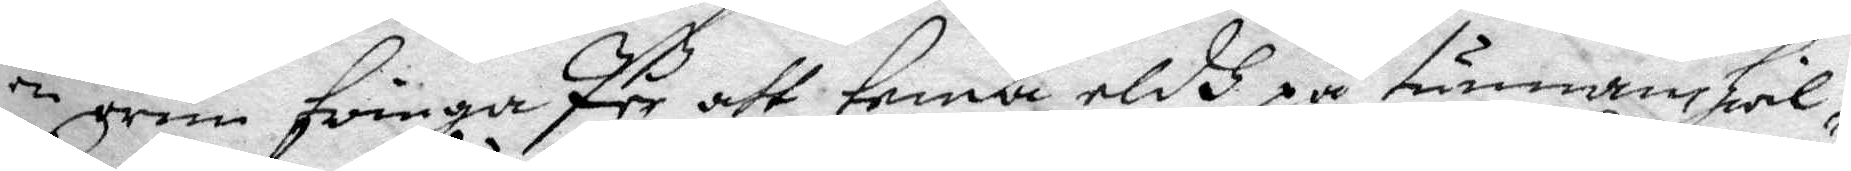en orm tvinga Per att tenda eldh på tunnan hwil¬
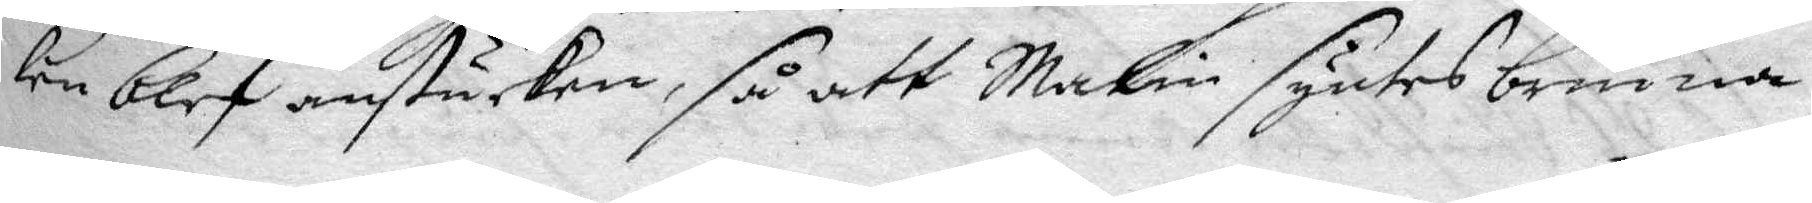ken blef anstucken, så att Malin syntes brinna
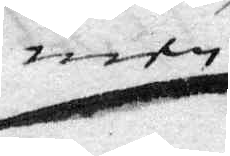men
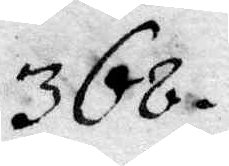368.
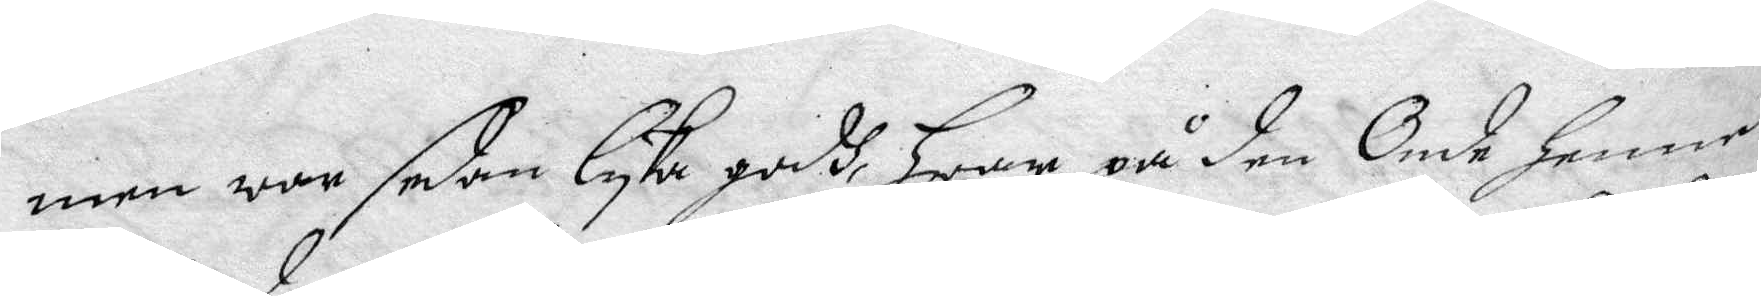men wwor sedan lyka godh hwar på den Onde henne
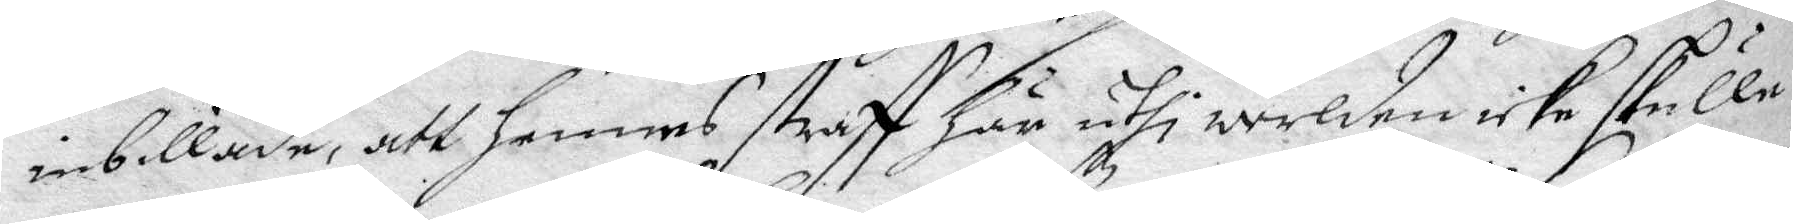inbillade, att hennes straff här uthi werlden icke skulle
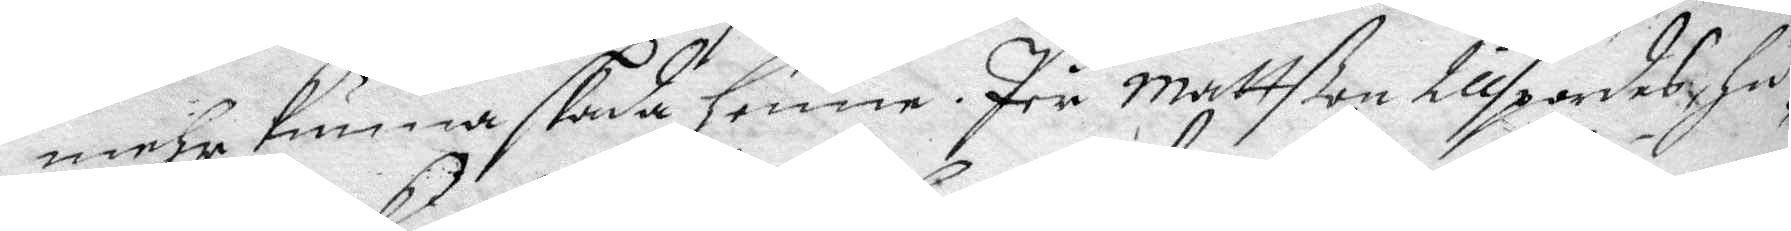mehra kunna skada henne. Per Mattßon tillspordes hu¬
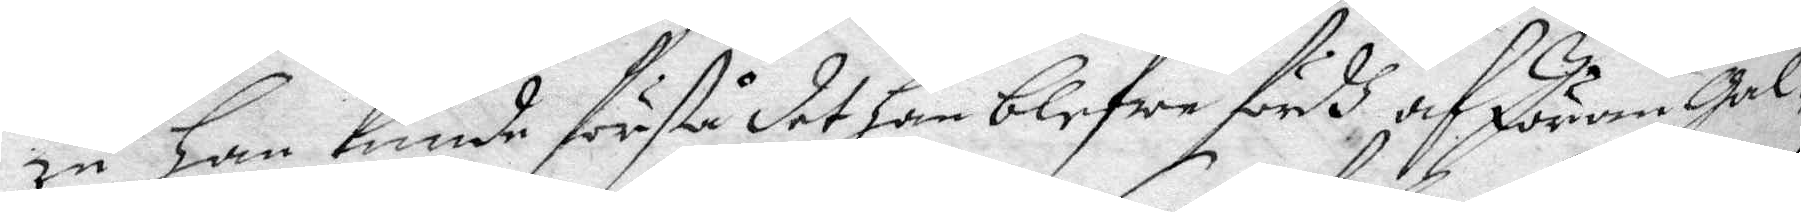ru han kunde förstå det han blefwe fördh af Jöran Gal¬
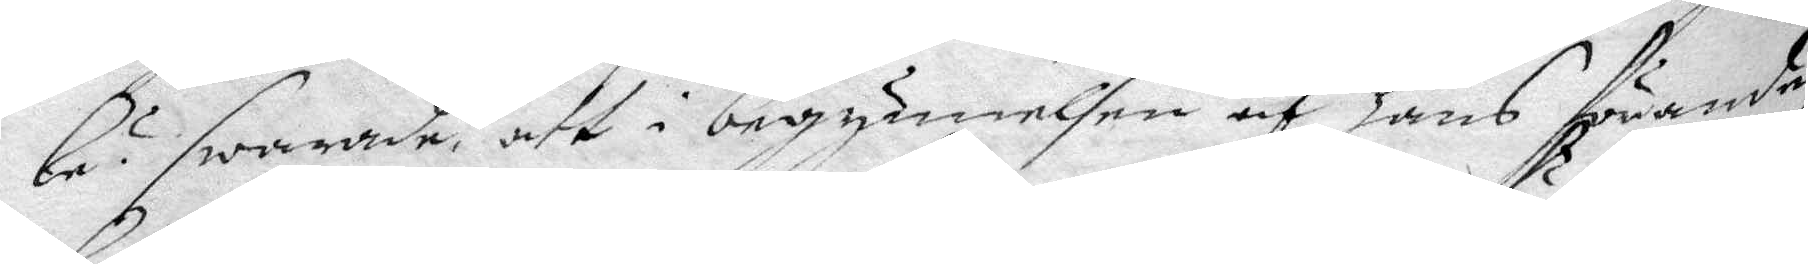le? swarade att i begynnelsen af hans förande
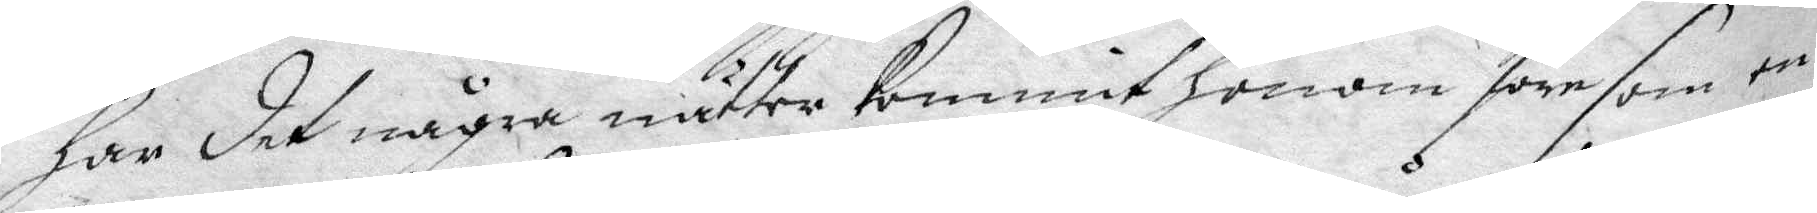han det några nätter kommit honom före som en
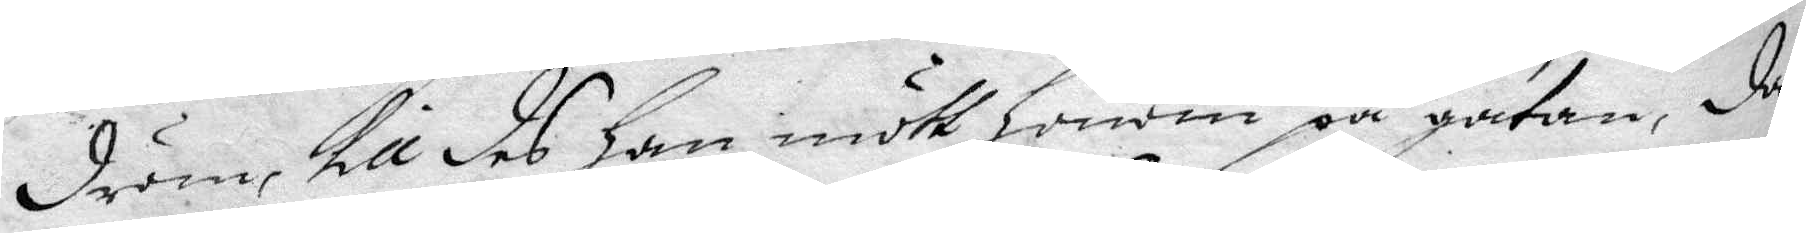dröm, till des han mött honom på gatan, då
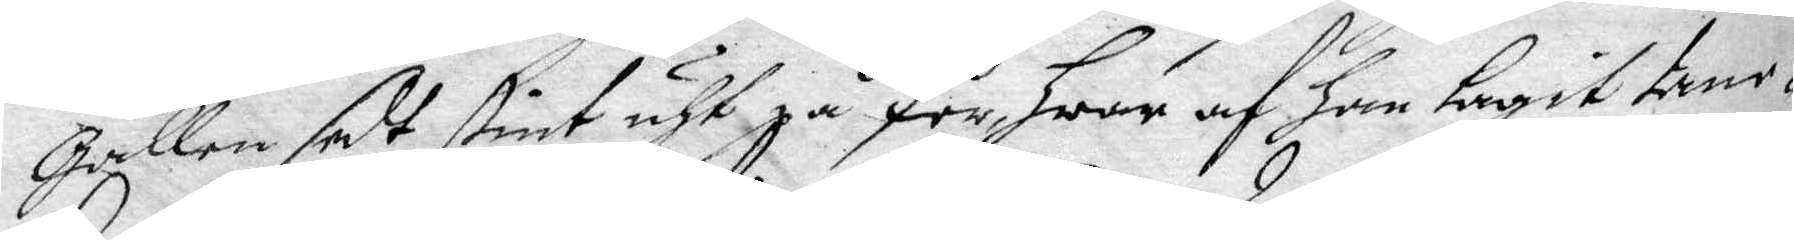Gallen sedt stint uht på Per hwar af han tagit tanc¬
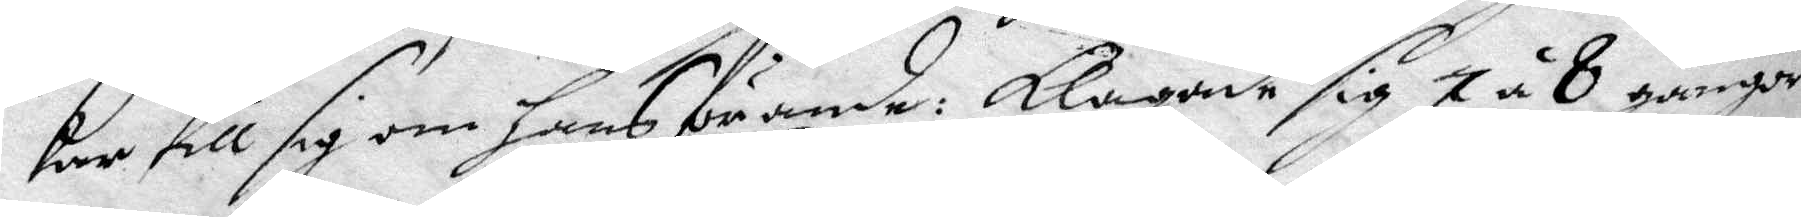kar till sig om hans förande: klagade sig 7 á 8 gånger
